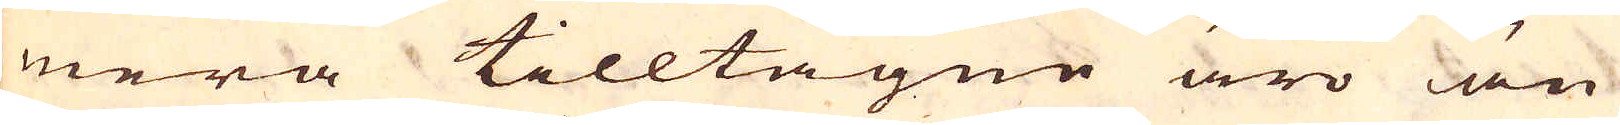mera tilltagne äro än
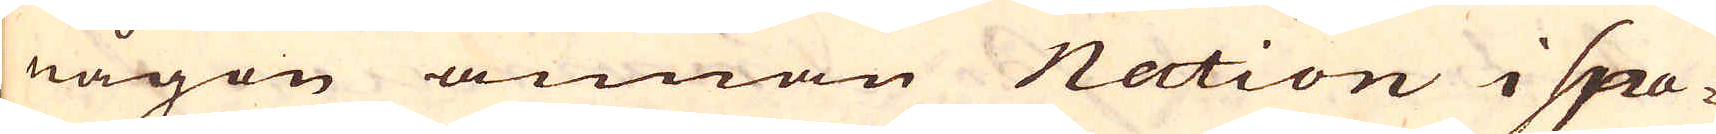någon annan Nation i Spa-
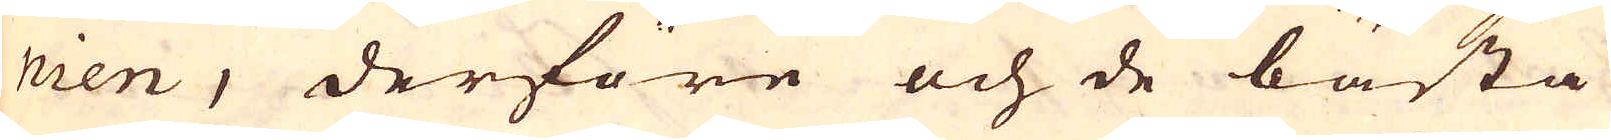nien, derföre och de bästa
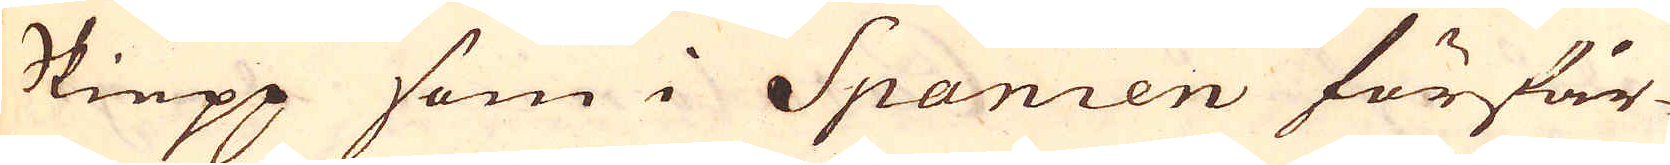Skiepp som i Spanien förfär-
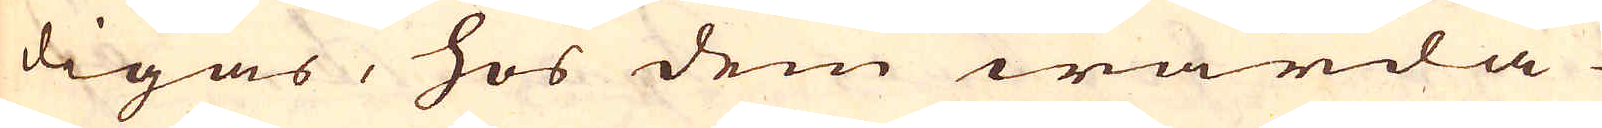digas, hos dem warda
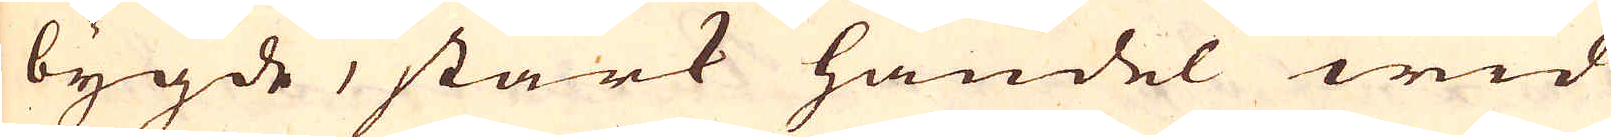bygde, stark handel wid
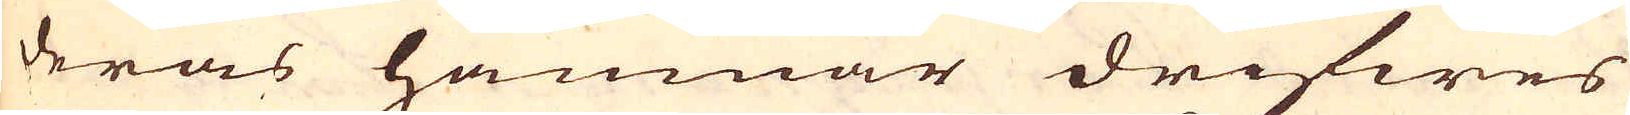deras hamnar drifwes
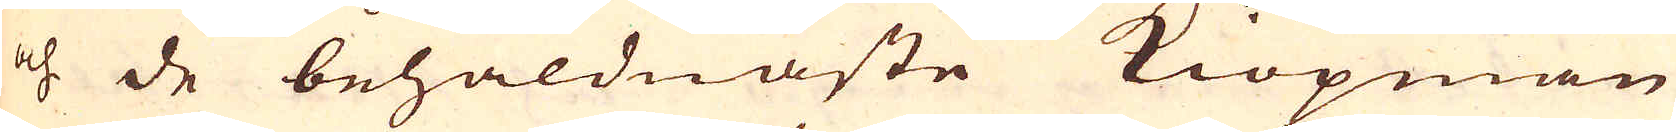och de behåldnaste Kiöpmän
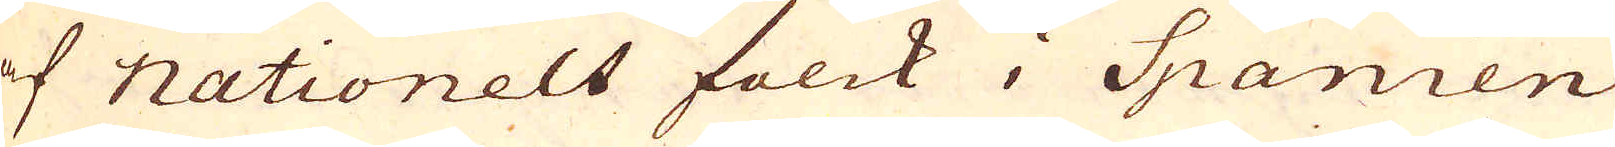af nationelt folck i Spanien
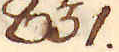831.
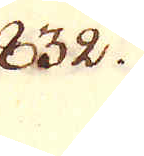832.
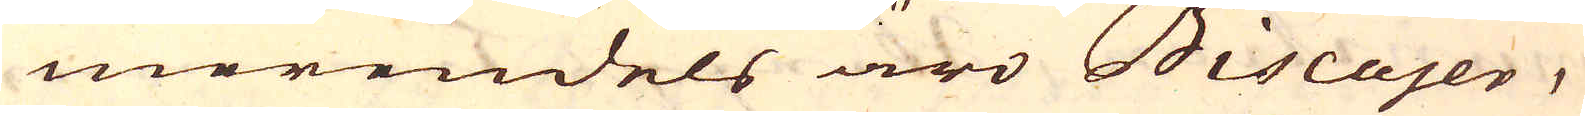merendels äro Biscajer,
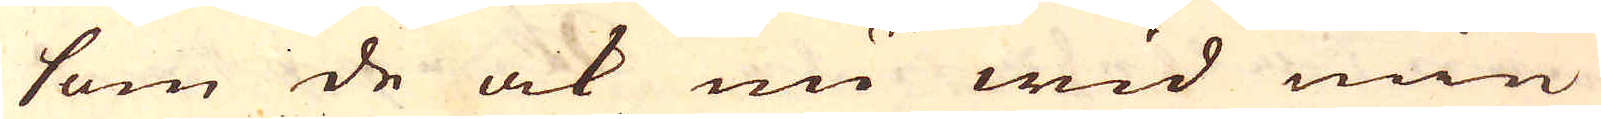som de ock nu wid min
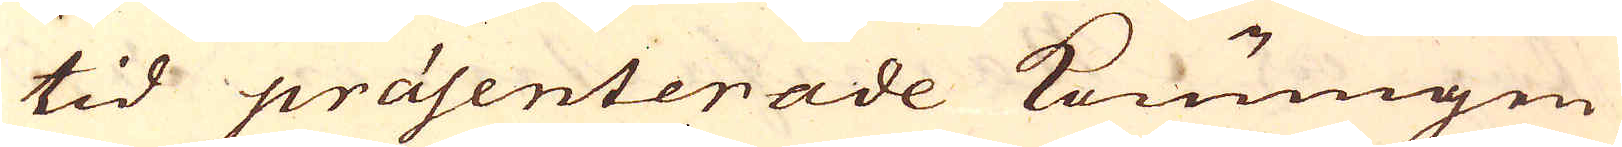tid präsenterade Konungen
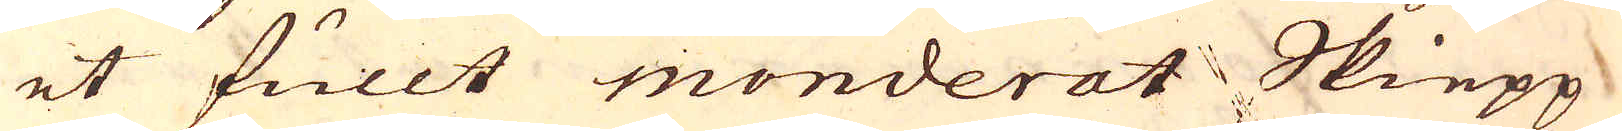et fullt monderat Skiepp
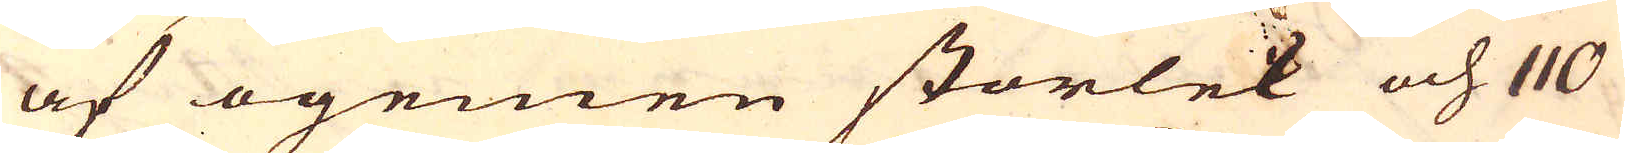af ogemen storlek och 110
